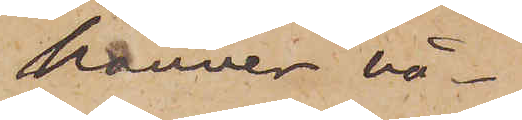känner nå¬
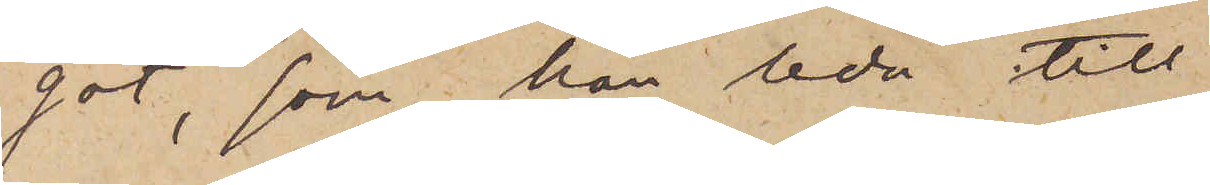got, som kan leda till
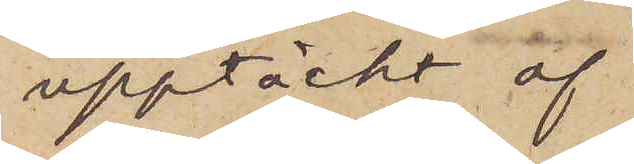upptäckt af
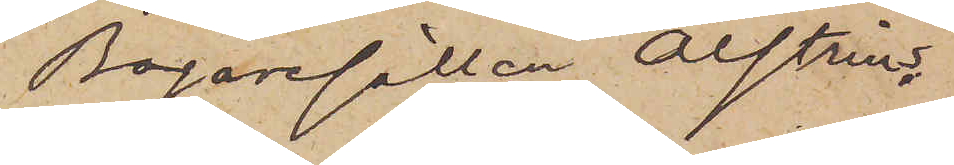Bagargesällen Alstrins
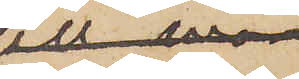mördare.
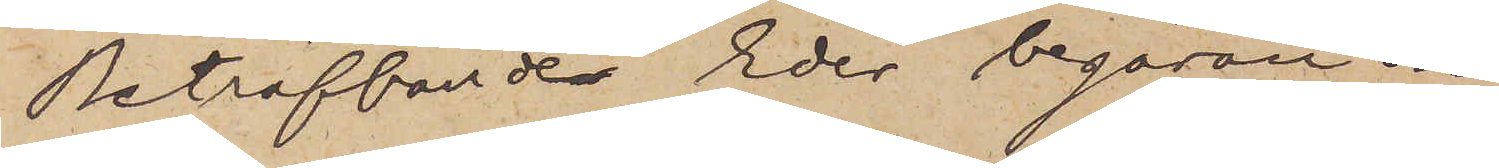Beträffanden Eder begäran om
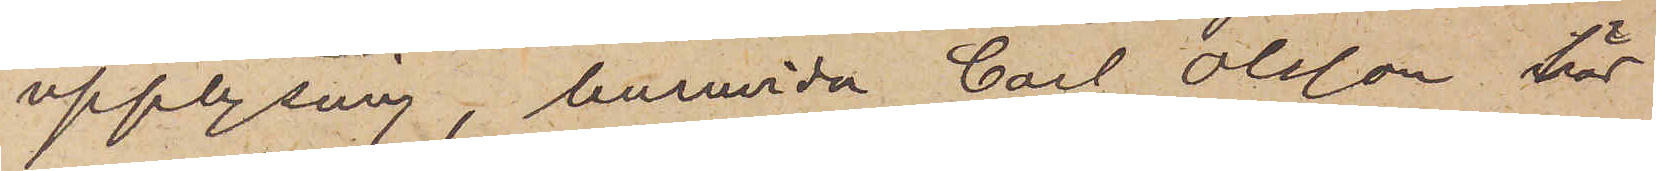upplysning, huruvida Carl Olsson här
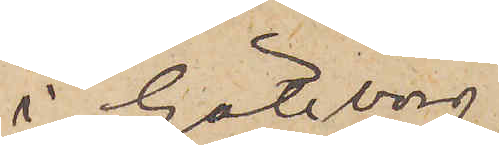i Göteborg i
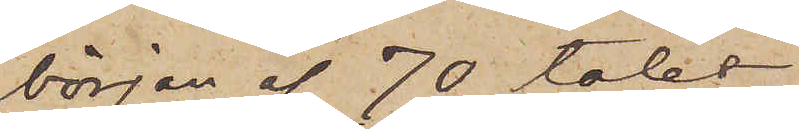början af 70 talet
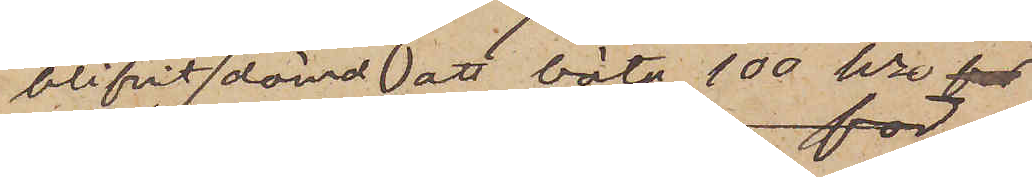blifvit dömd att böta 100 kr 
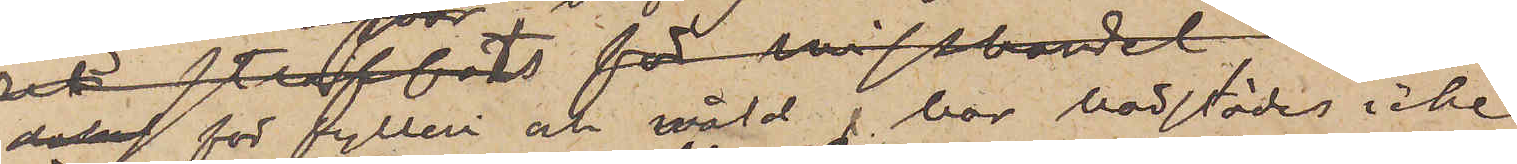för fylleri och våld, har härstädes icke 
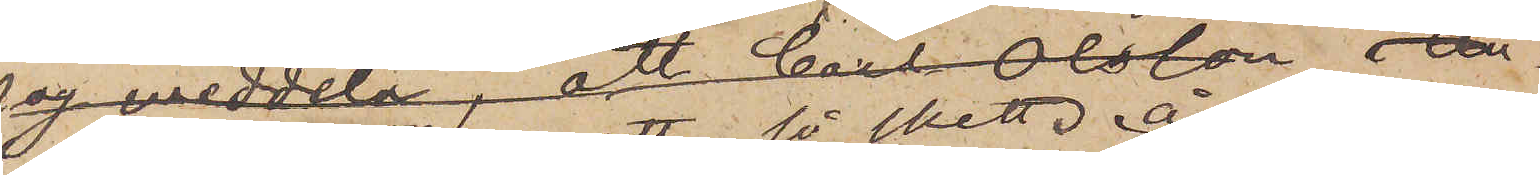kunnat utrönas att så skett. År 1874 var
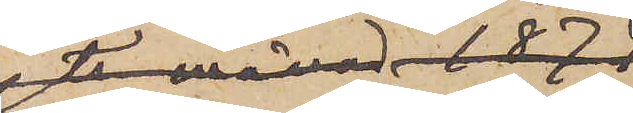Olsson hos RRn
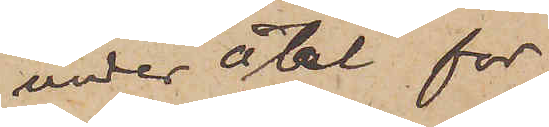under åtal för
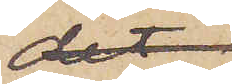det han
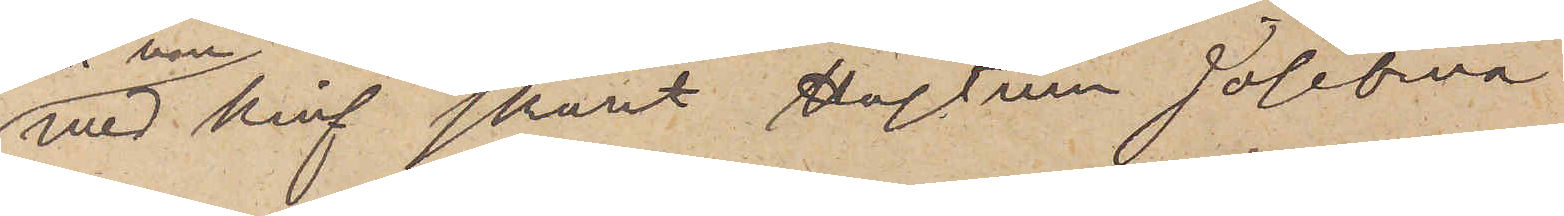med kniv skurit Hustrun Josefina
